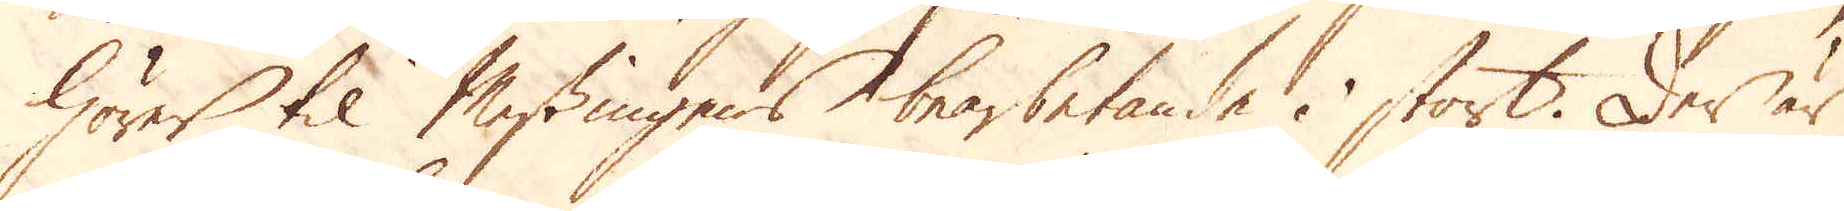hörer til Messingens bearbetande i stort. Der är
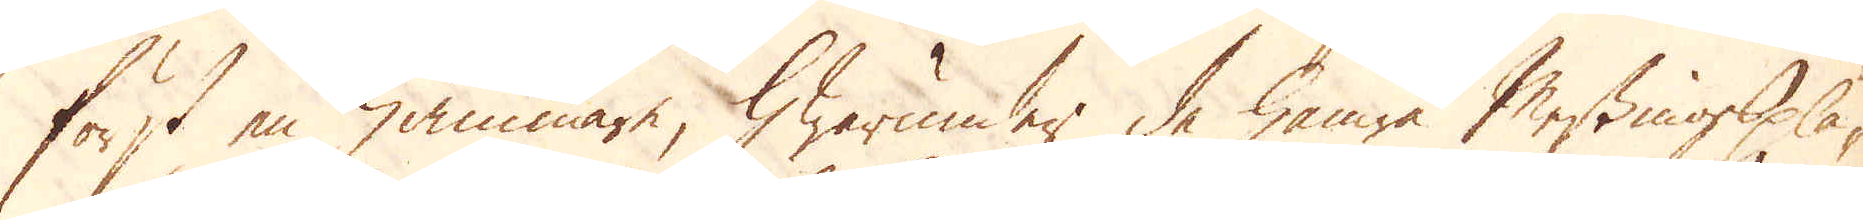först en hammare, hwarunder de hamra Messingsplå-
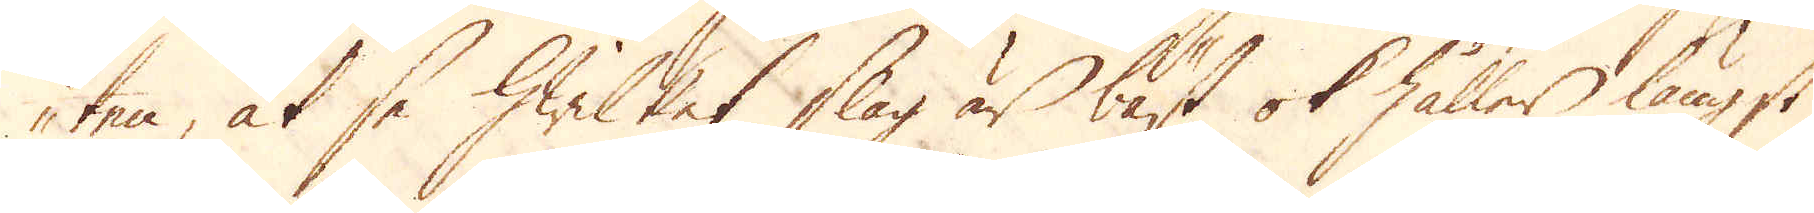ten, at se hwilket slag är bäst ok håller längst
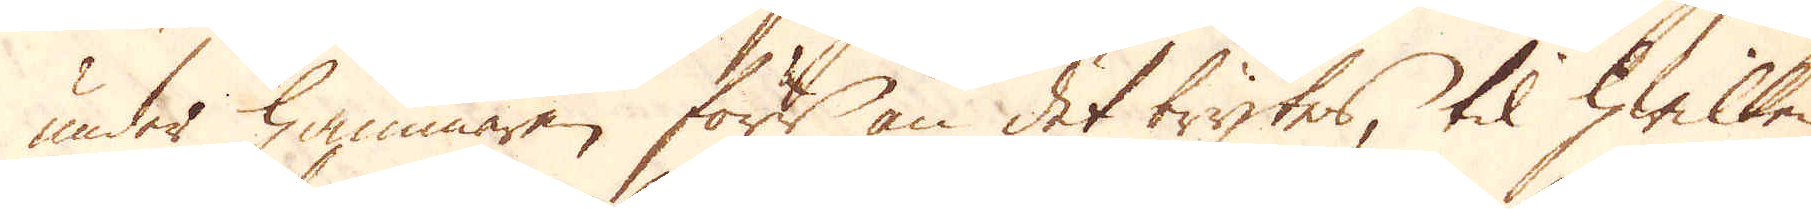under hammaren förr än det brytes, til hwilken
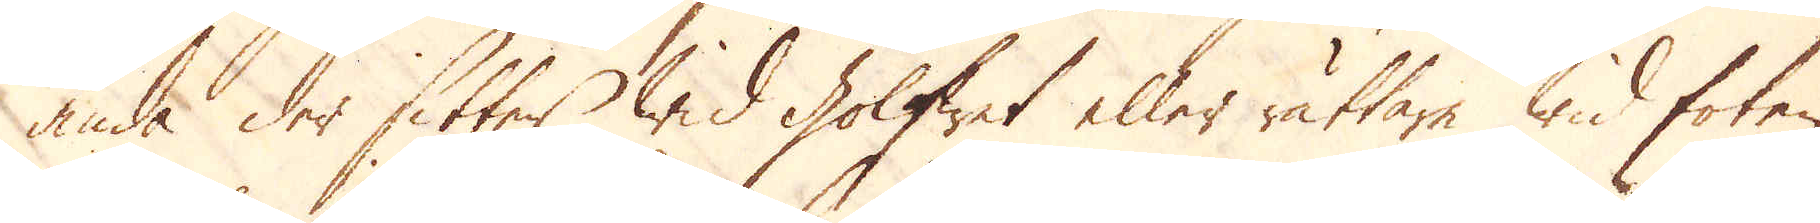ända der sitter wid golfwet eller rättare wid foten
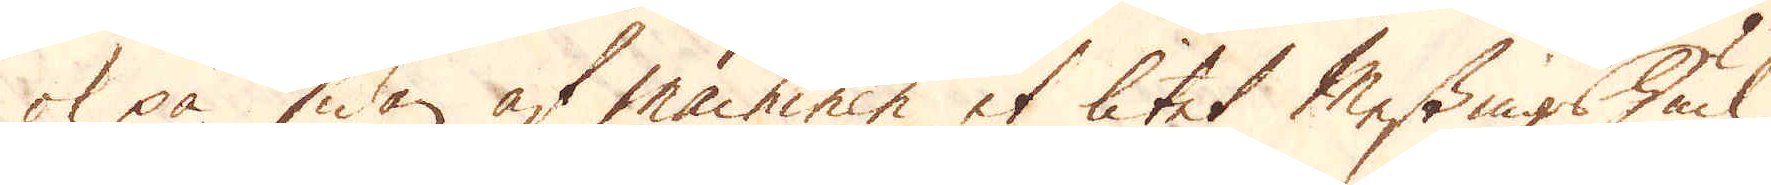ok på sidan af machinen et litet Messingshiul,
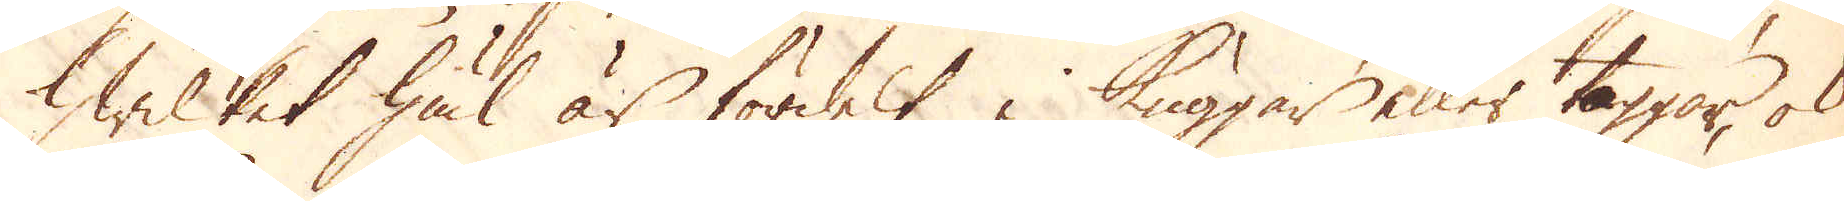hwilket hiul är fördelt i kuggar eller taggar, ok
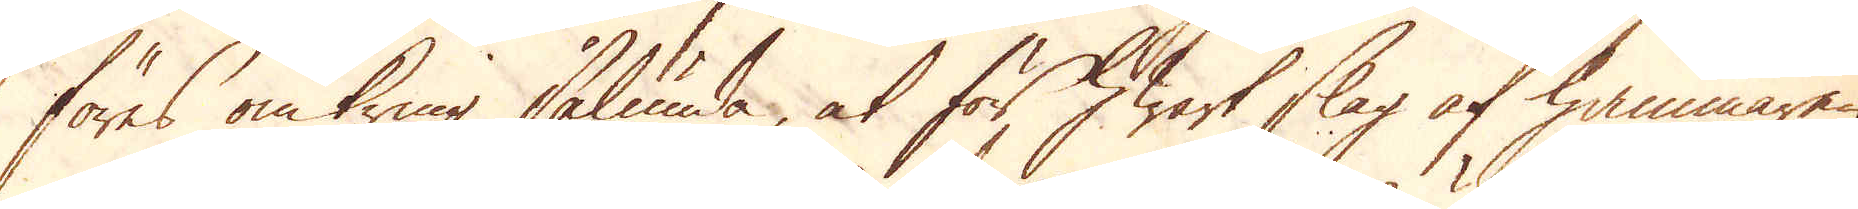föras omkring sålunda, at för hwart slag af hammaren
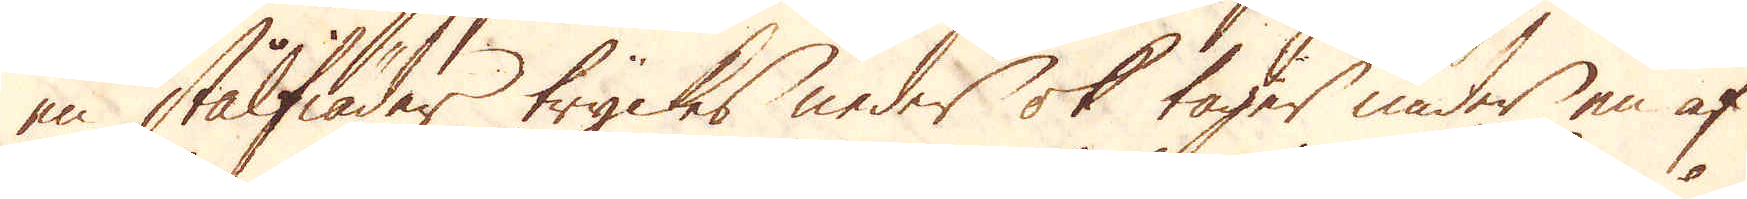en stålfiäder tryckes neder ok tager under en af
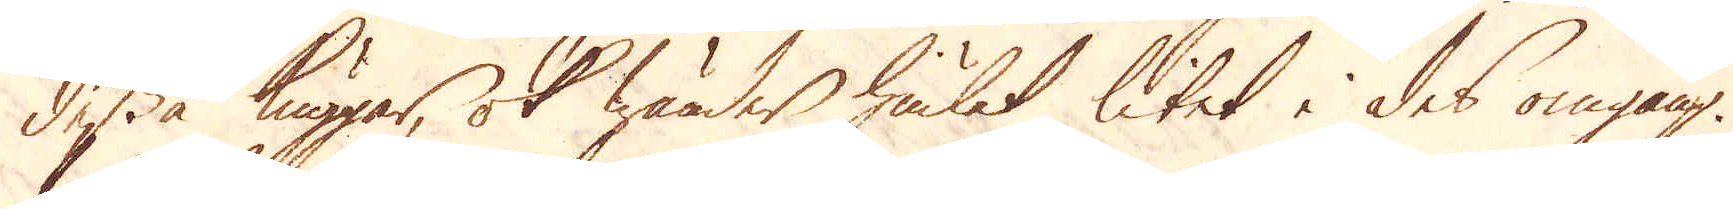dessa kuggar, ok wänder hiulet litet i des omgång.
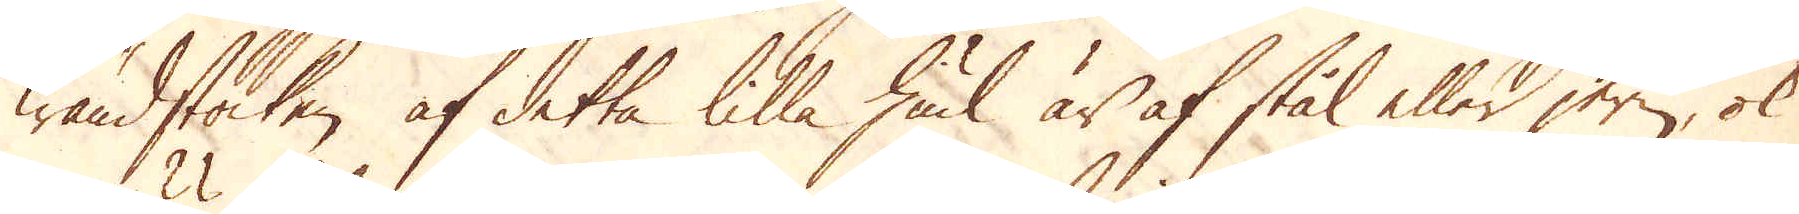Wändstocken af detta lilla hiul är af stål eller jern, ok
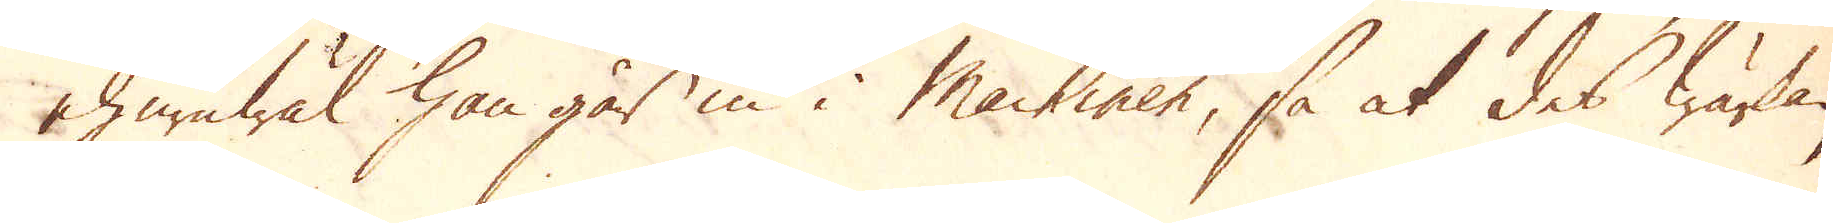ehuruwäl han går in i machiner, så at des wärkan
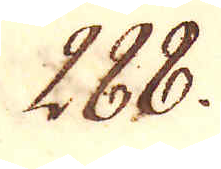288.
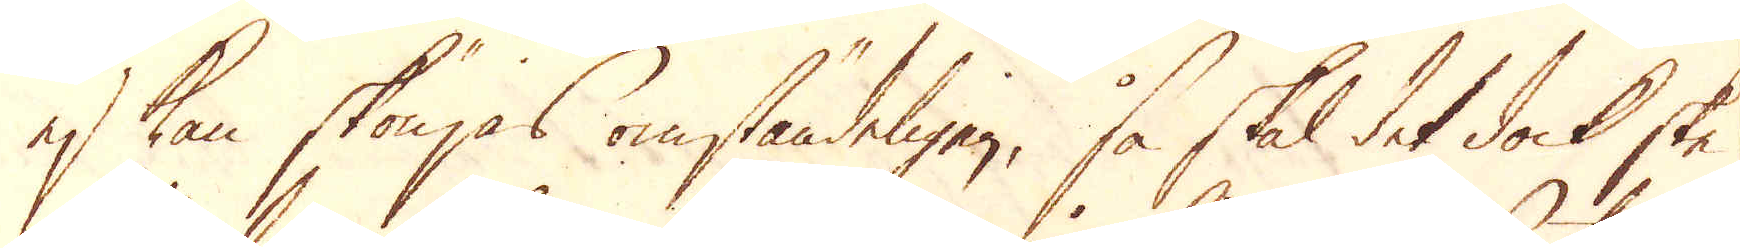ej kan skönjas omständeligen, så skal det dock ske
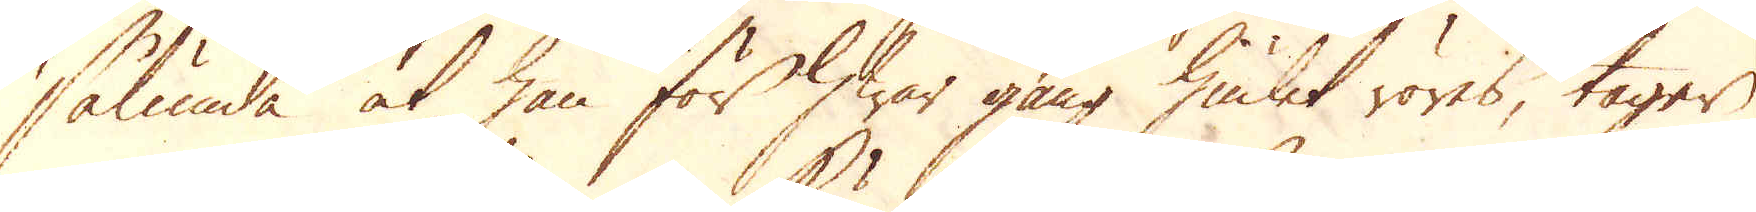sålunda at han för hwar gång hiulet röres, tager
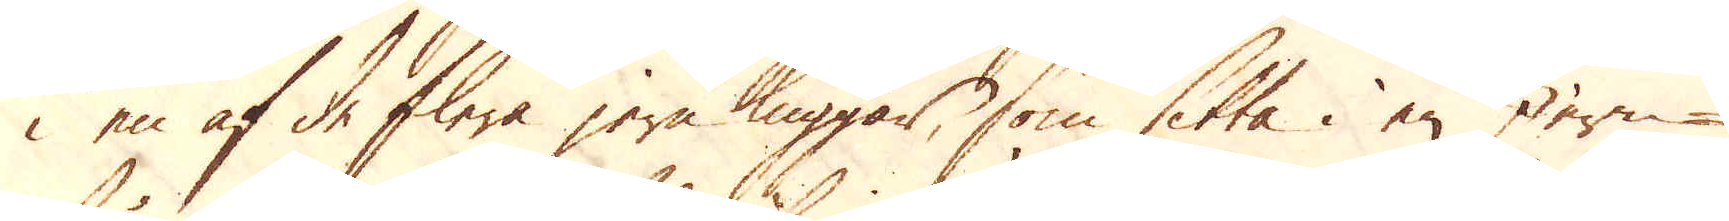i en af de flera jern kuggar, som sitta i en Jern-
